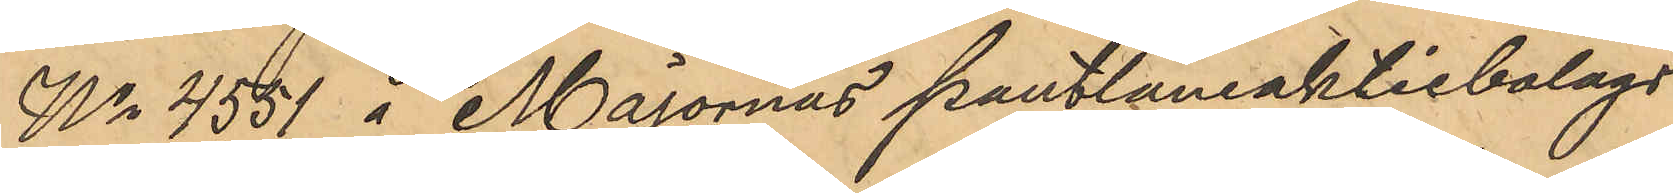No 4551 i Majornas pantlåneaktiebolags
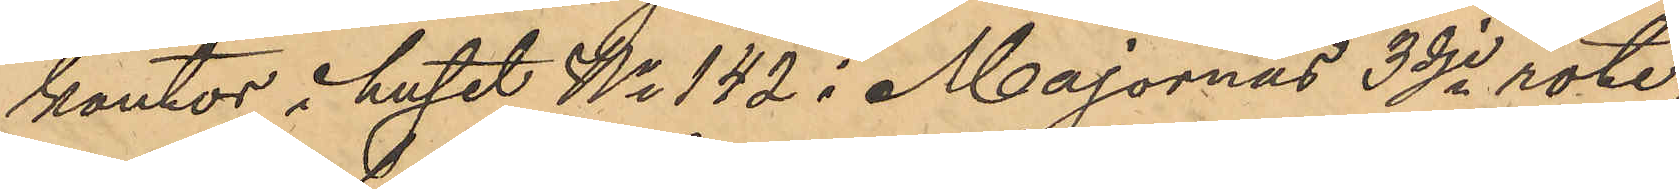kontor i huset No 142 i Majornas 3dje rote,
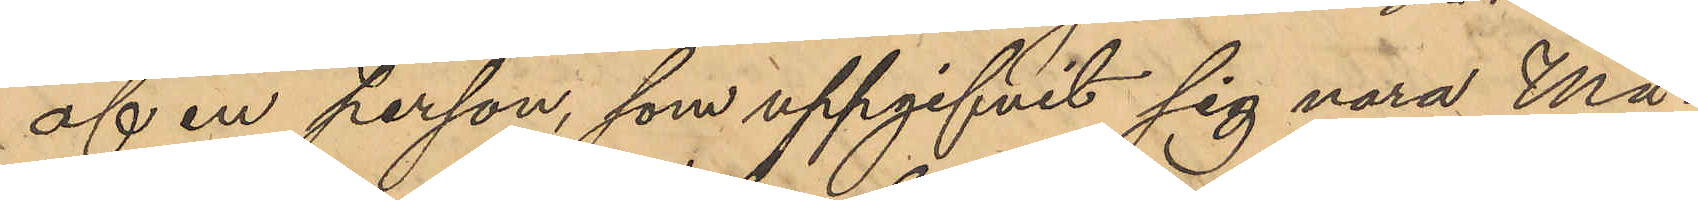af en person, som uppgifvit sig vara Må¬
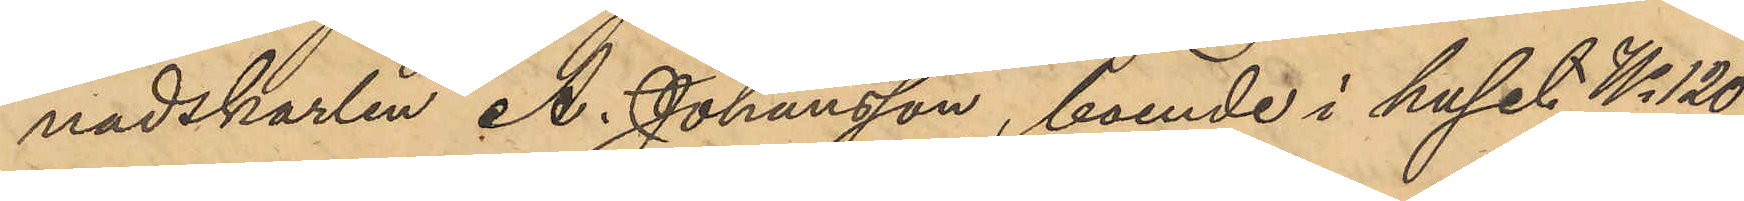nadskarlen A. Johansson, boende i huset No 120
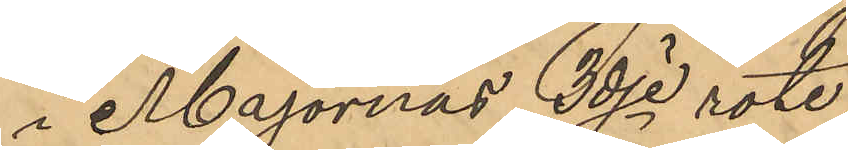i Majornas 3dje rote,
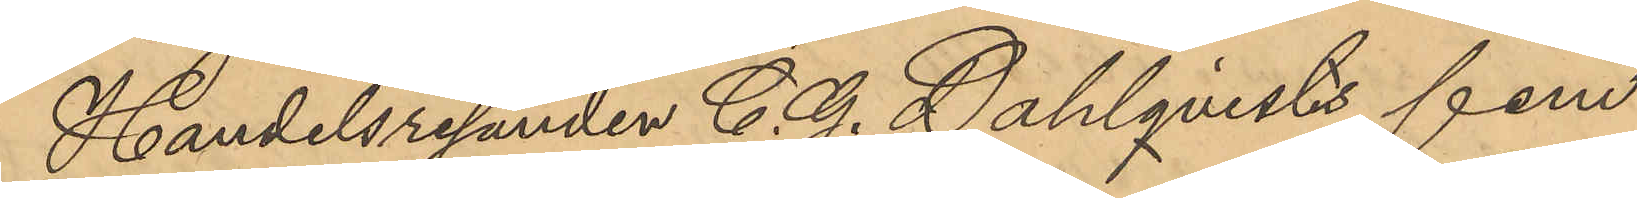Handelsresanden C. G. Dahlqvists fem 
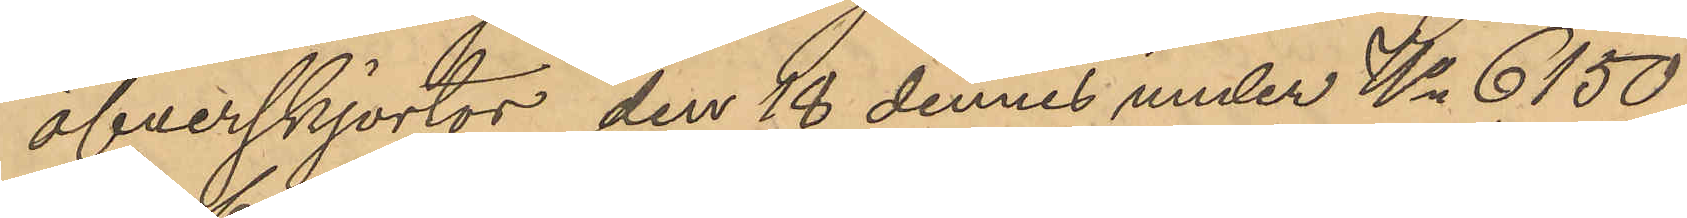öfverskjortor, den 18 dennes under No 6,150
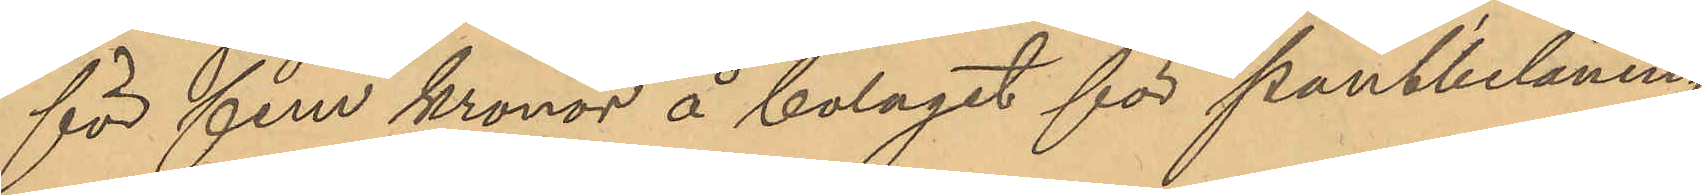för fem kronor å bolaget för pantbelåning
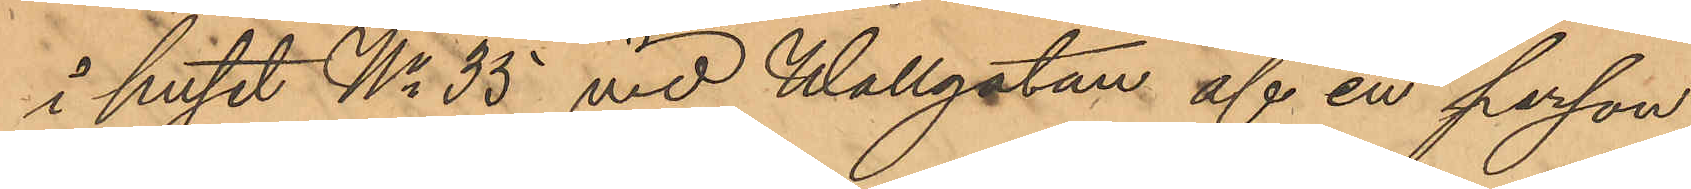i huset No 35 vid Wallgatan af en person
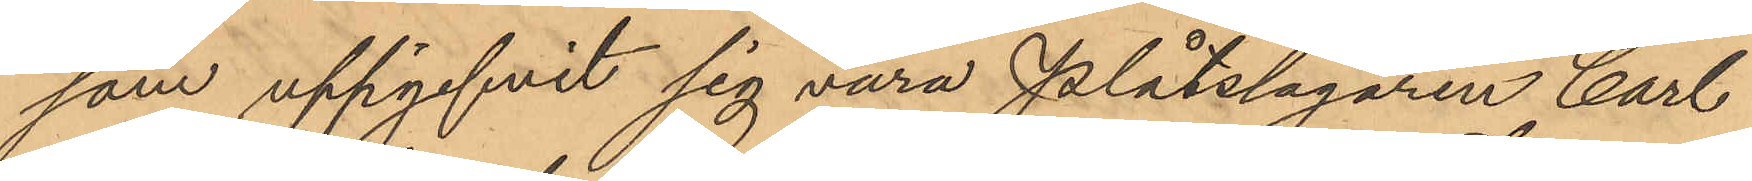som uppgifvit sig vara plåtslagaren Carl
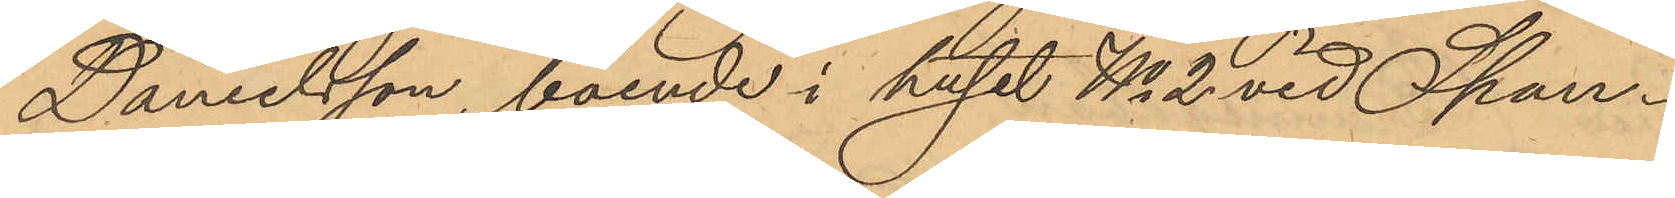Danielsson, boende i huset No 2 vid Span¬
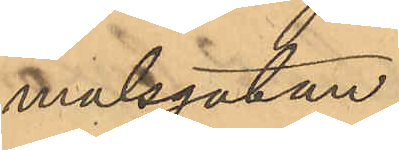målsgatan.
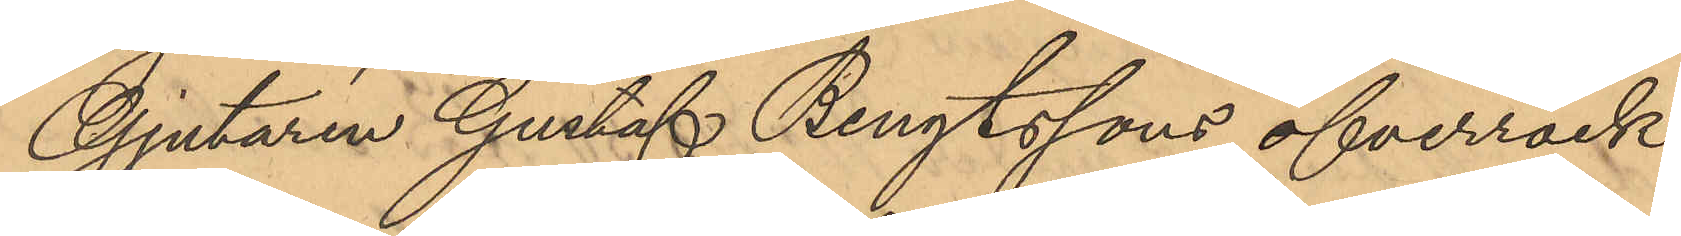Gjutaren Gustaf Bengtssons öfverrock
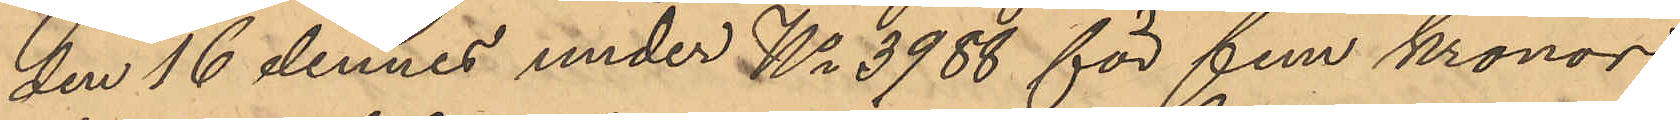den 16 dennes under No 3988 för fem kronor
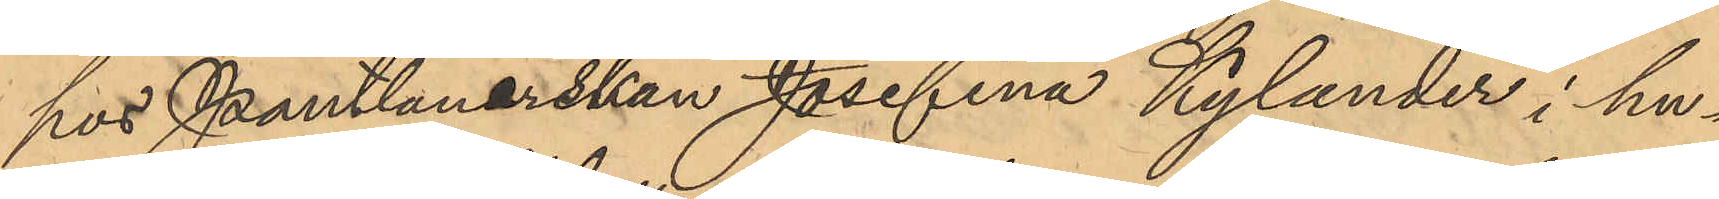hos Pantlånerskan Josefina Kylander i hu¬
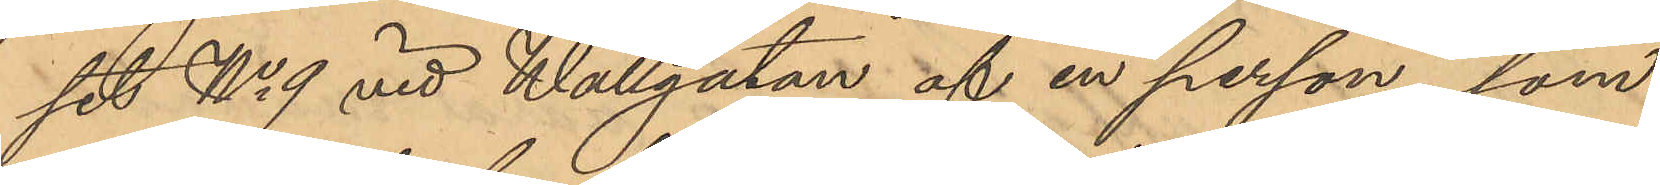set No 9 vid Wallgatan af en person, som
